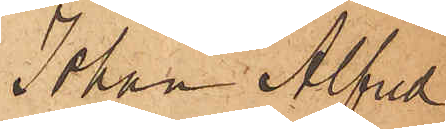Johan Alfred
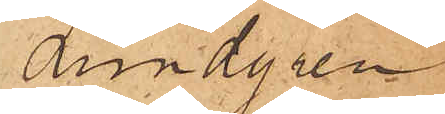Lundgren
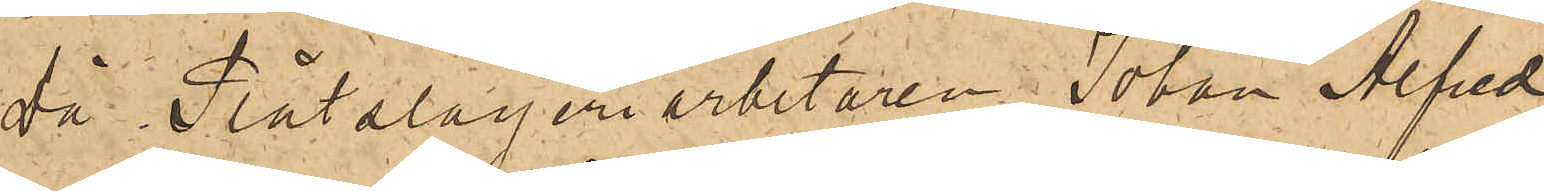Då Plåtslageriarbetaren Johan Alfred
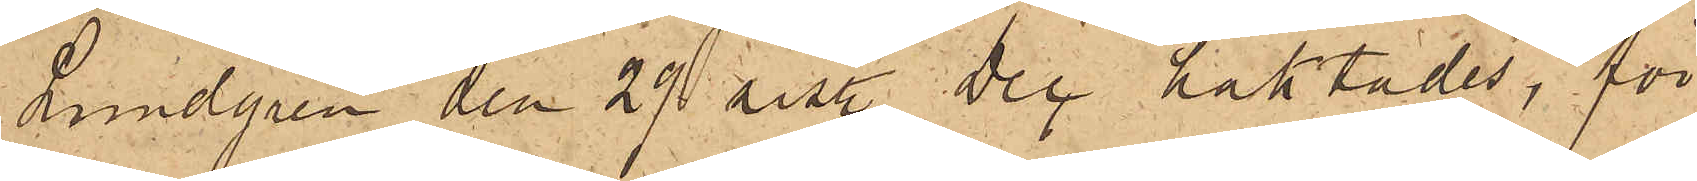Lundgren den 29 sist. Dec häktades, för
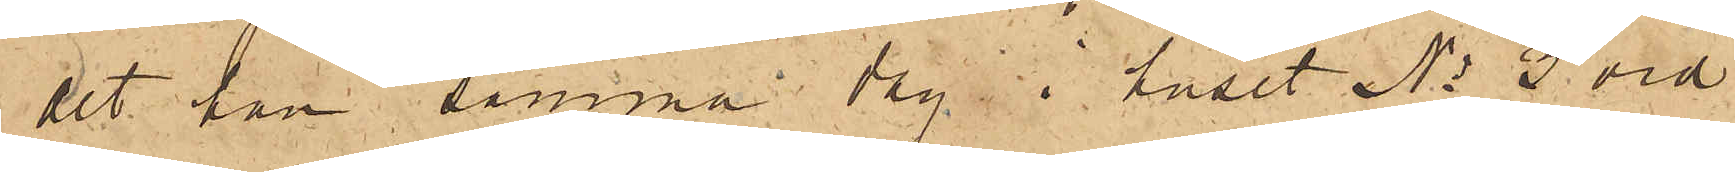det han samma dag i huset No 2 vid
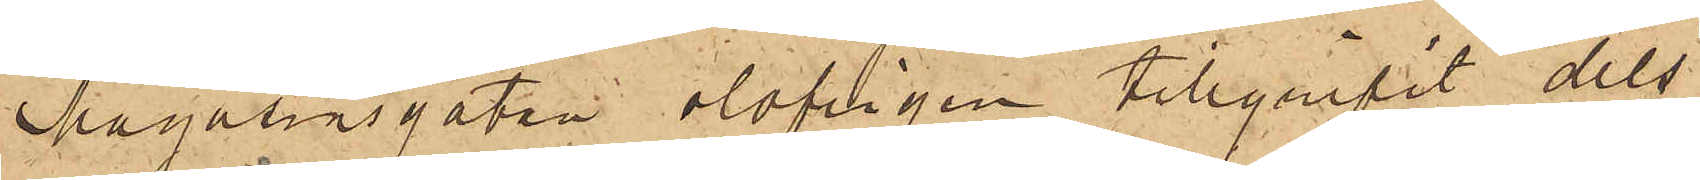Magasinsgatan olofligen tillgripit dels
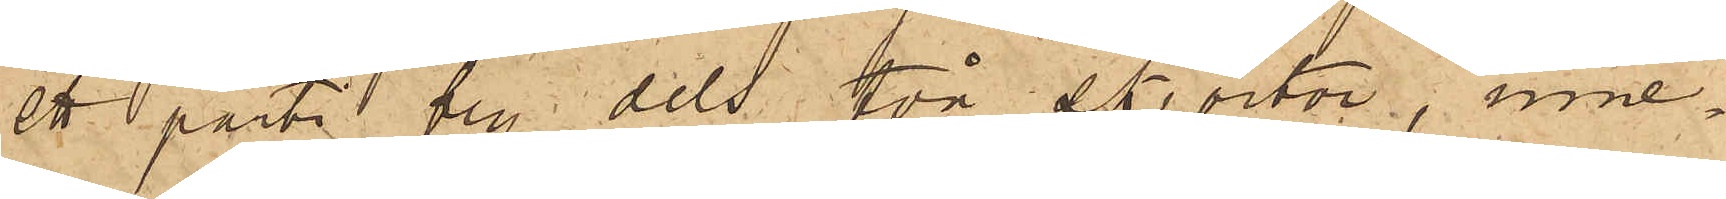ett parti bly dels två skjortor, inne¬
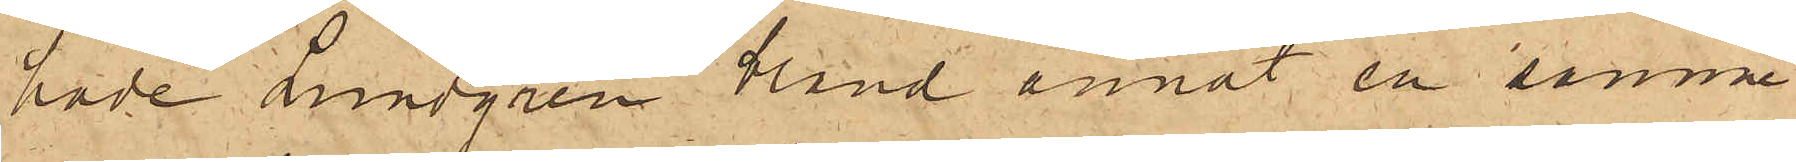hade Lundgren bland annat en samma
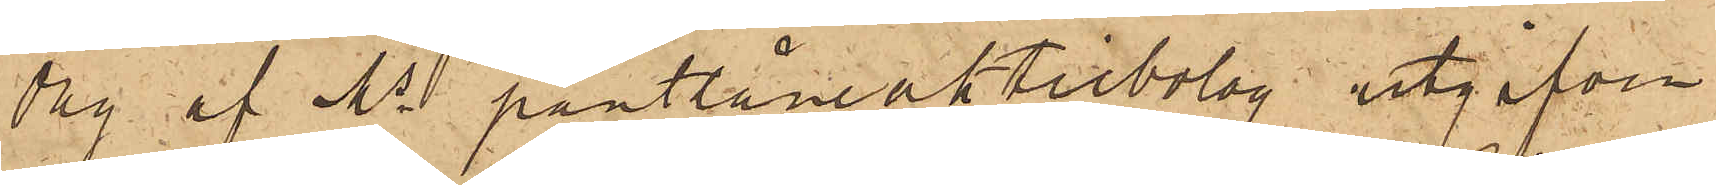dag af Ms pantlåneaktiebolag utgifven
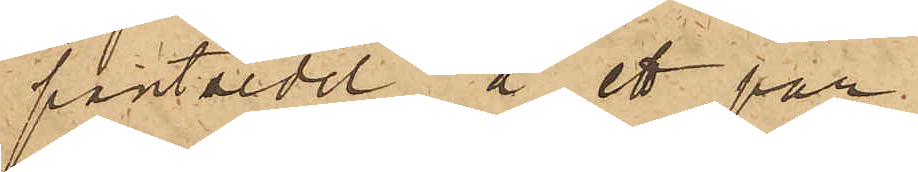pantsedel å ett par
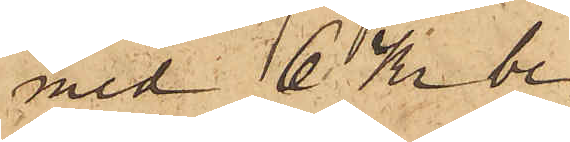med 6 Kr be¬
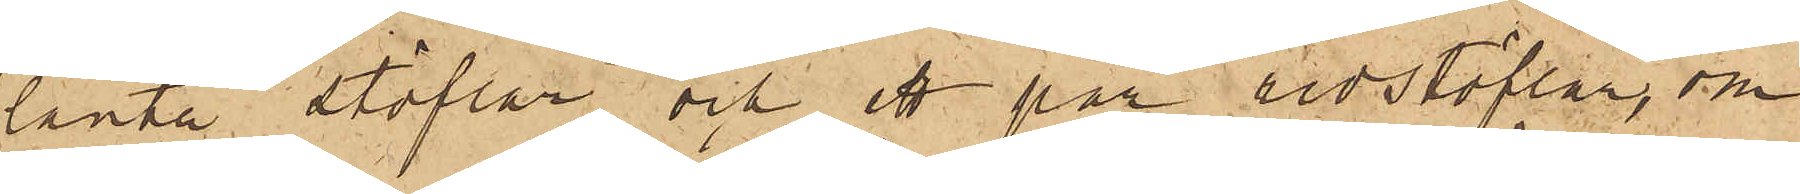lånta stöflar och ett par ridstöflar, om
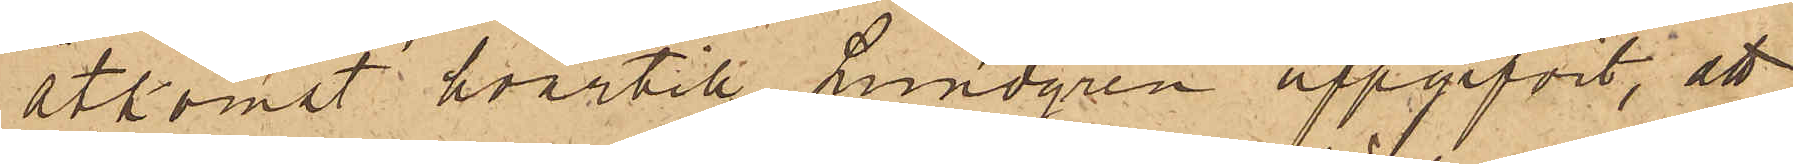åtkomst hvartill Lundgren uppgifvit, att
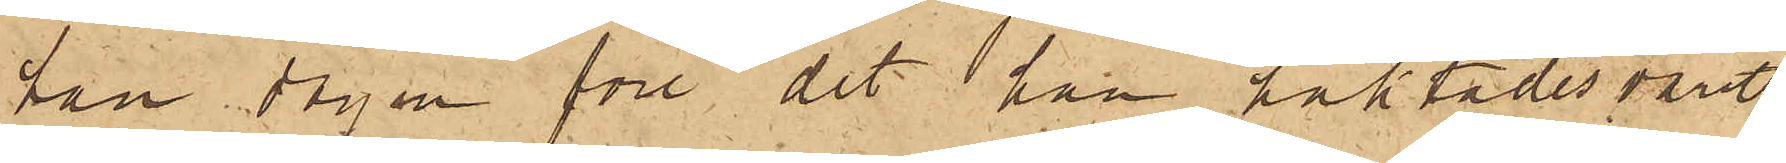han dagen före det han häktades varit
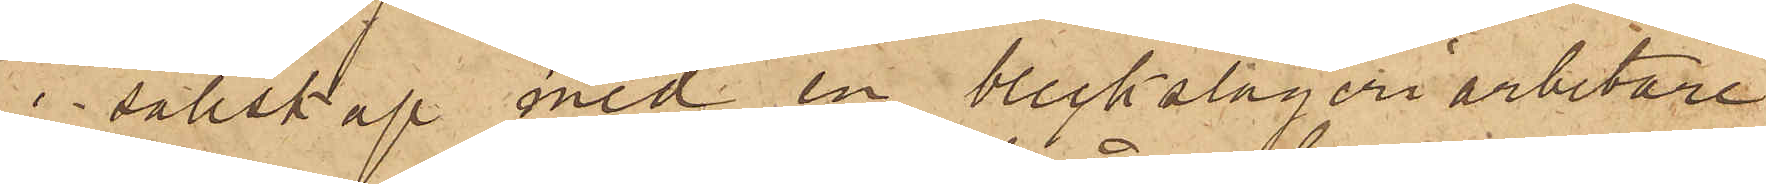i sällskap med en bleckslageriarbetare
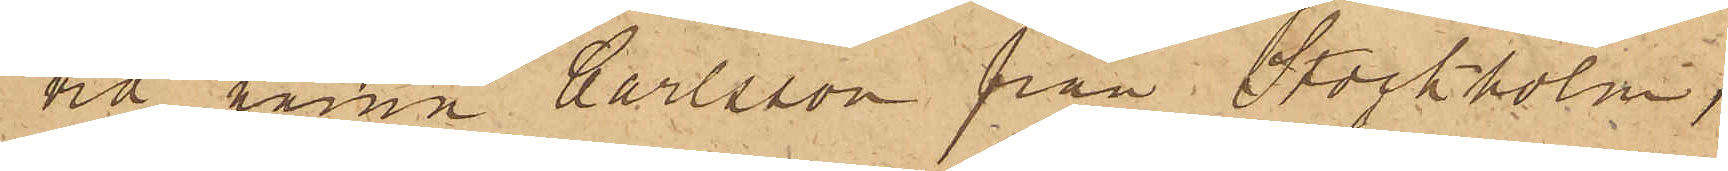vid namn Carlsson från Stockholm,
